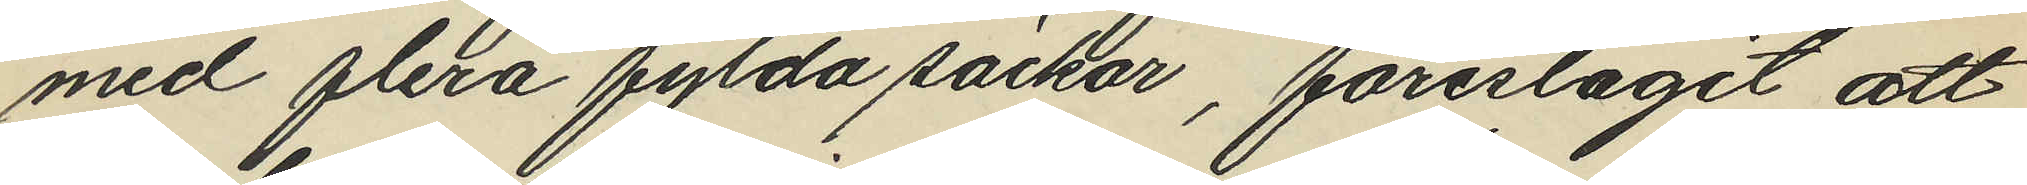med flera fylda säckar, föreslagit att
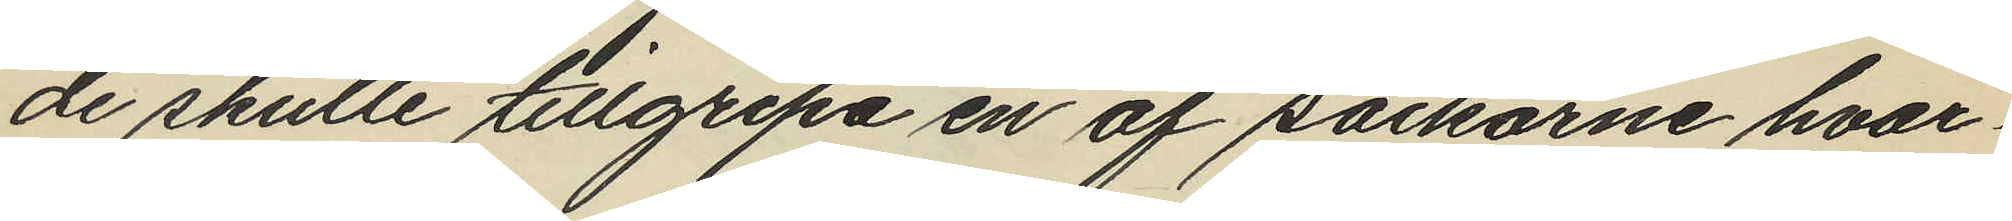de skulle tillgripa en af säckarne hvar¬
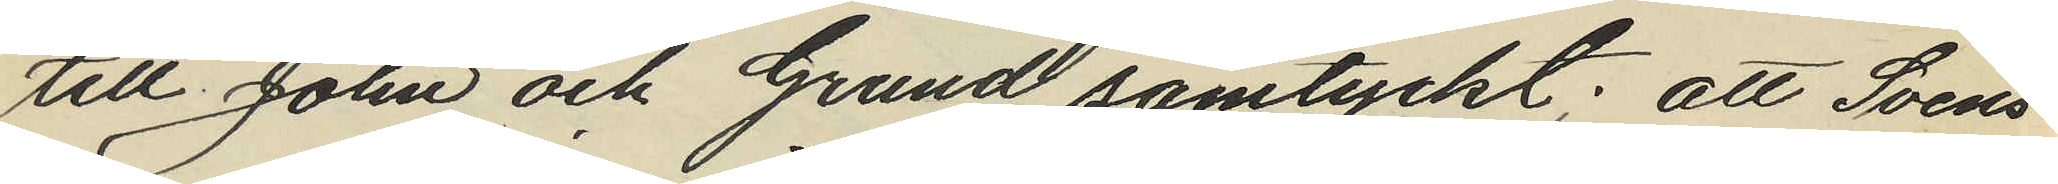till John och Grund samtyckt; att Svens¬
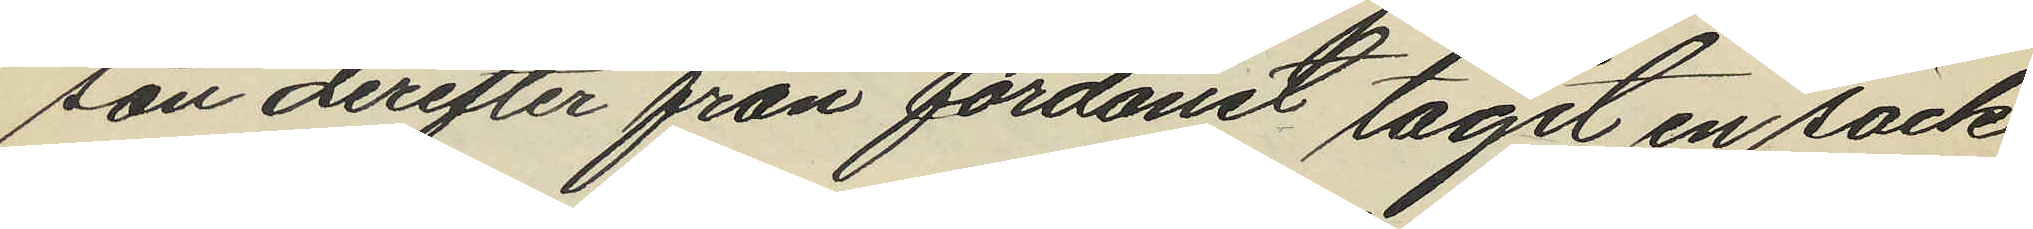son derefter från fordonet tagit en säck
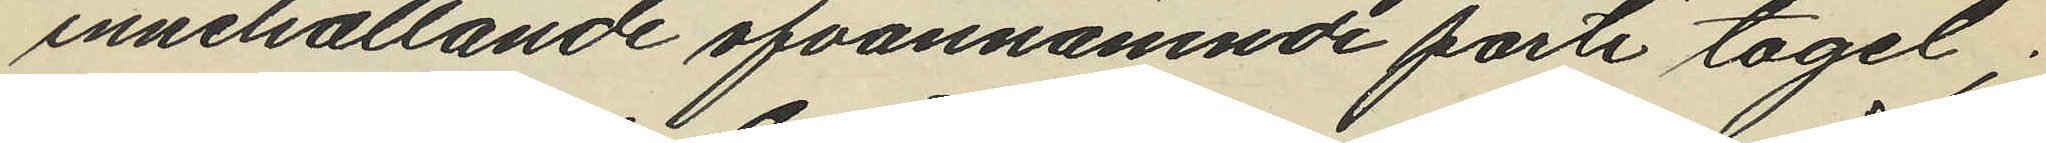innehållande ofvannämnde parti tagel;
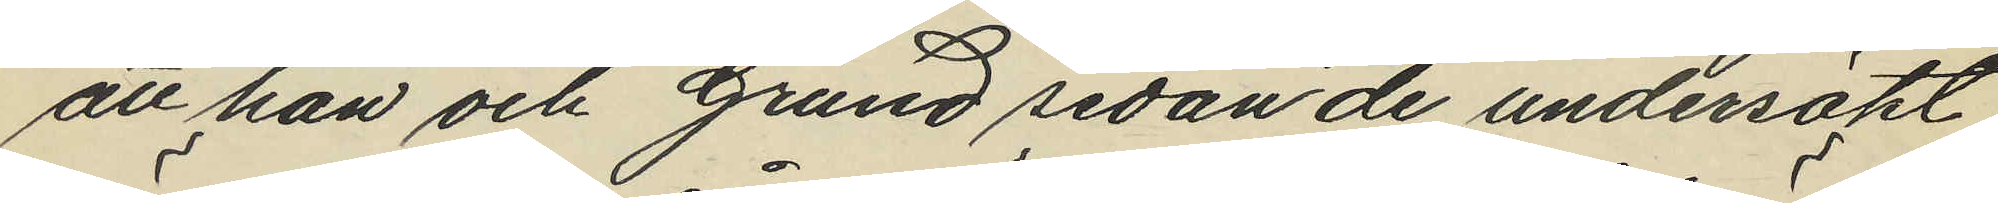att han och Grund sedan de undersökt
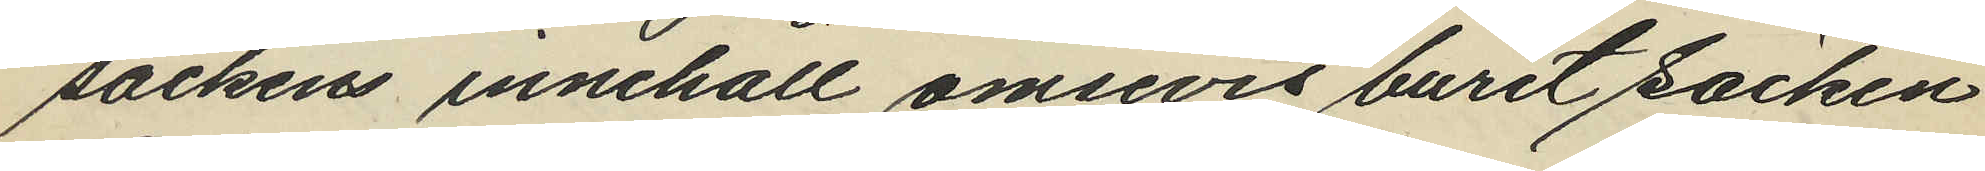säckens innehåll ömsevis burit säcken
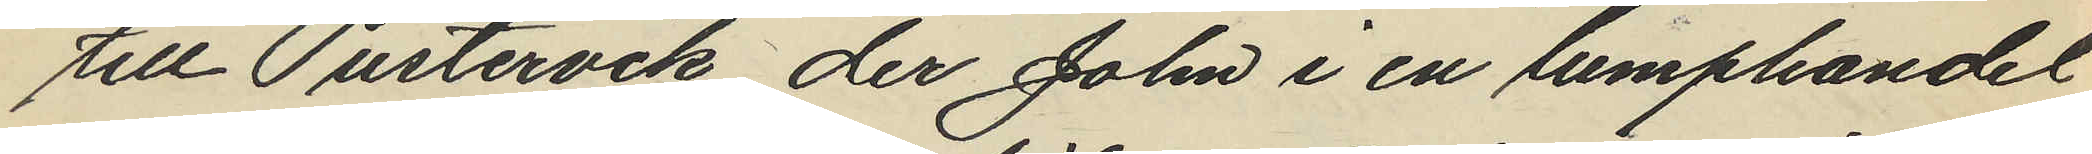till Pustervik der John i en lumphandel
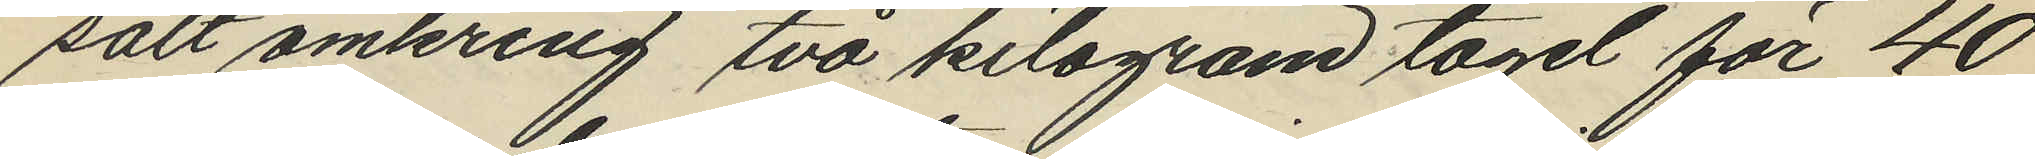sålt omkring två kilogram tagel för 40
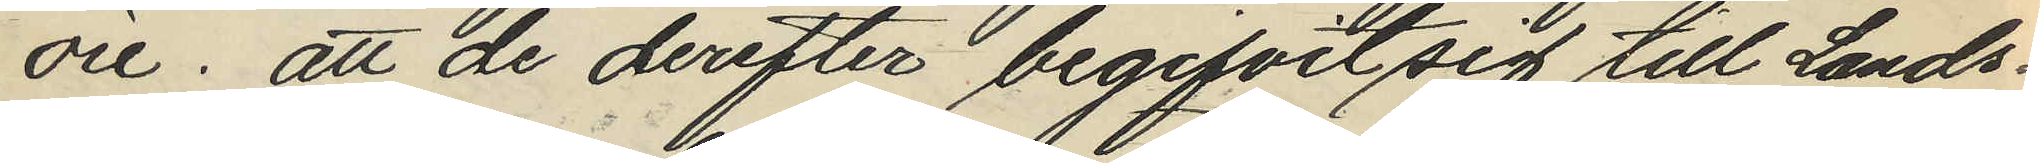öre; att de derefter begifvit sig till Lands¬
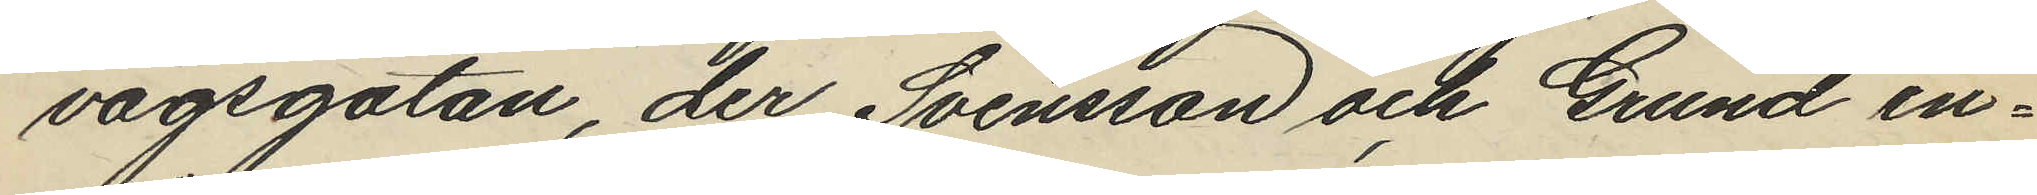vägsgatan, der Svensson och Grund in¬
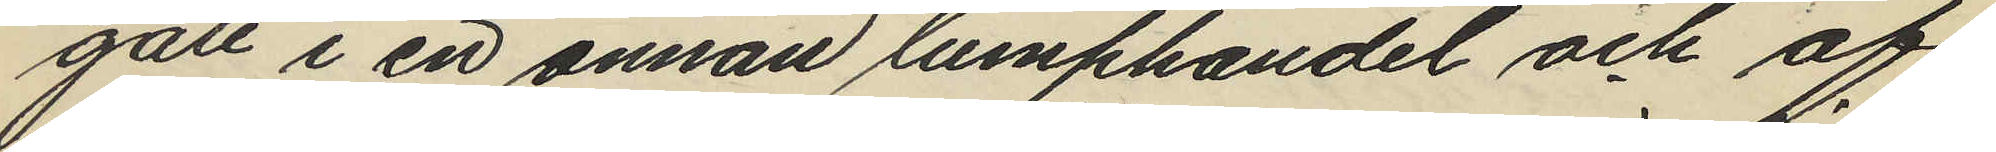gått i en annan lumphandel och af
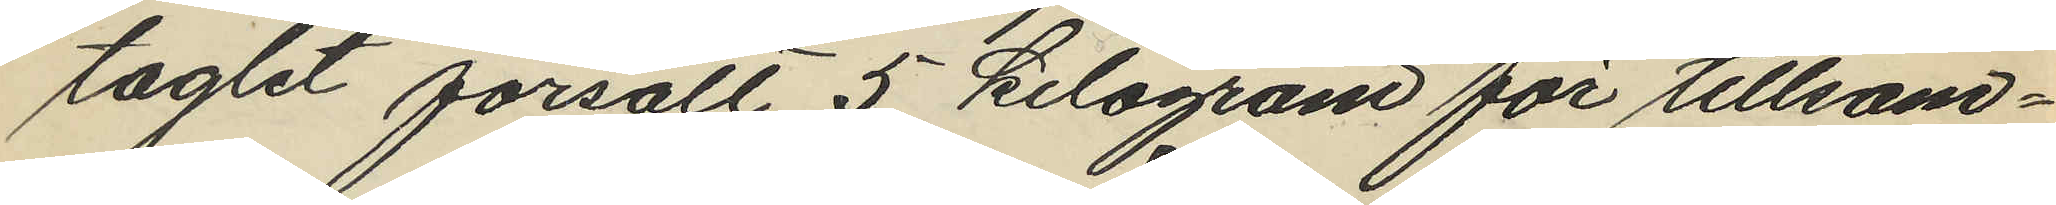taglet försålt 5 kilogram för tillsam¬
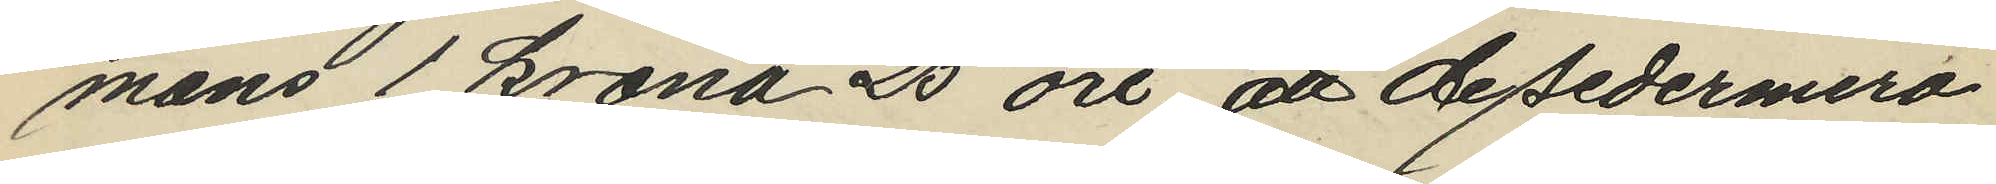mans 1 krona 25 öre att de sedermera
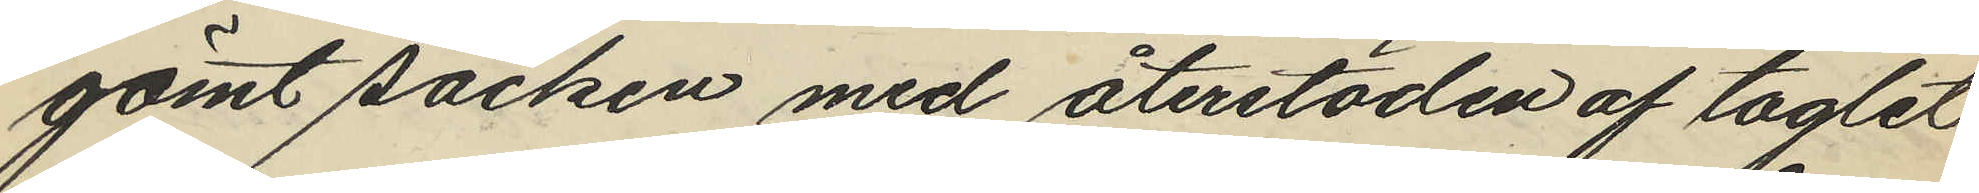gömt säcken med återstoden af taglet
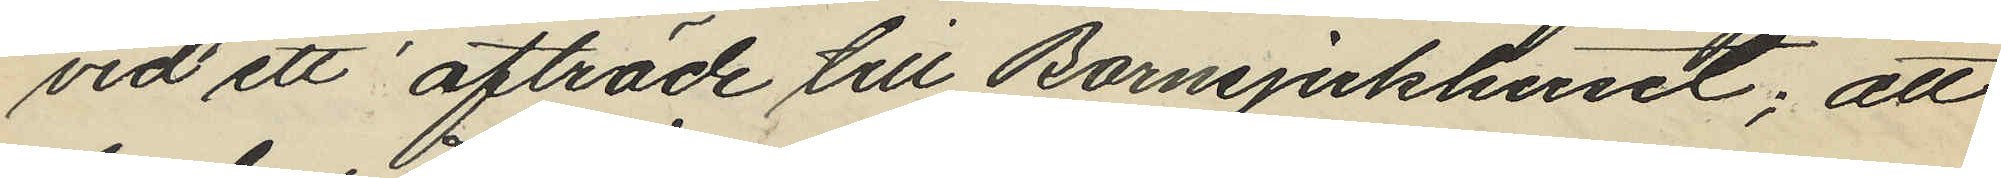vid ett afträde till Barnsjukhuset; att
